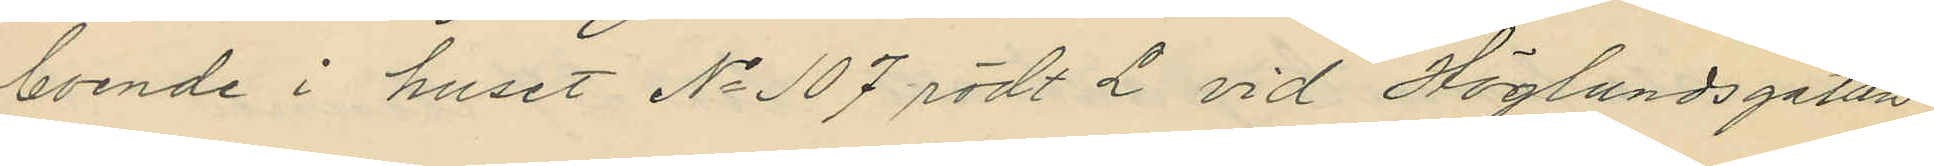boende i huset No 107 rödt L vid Höglundsgatan
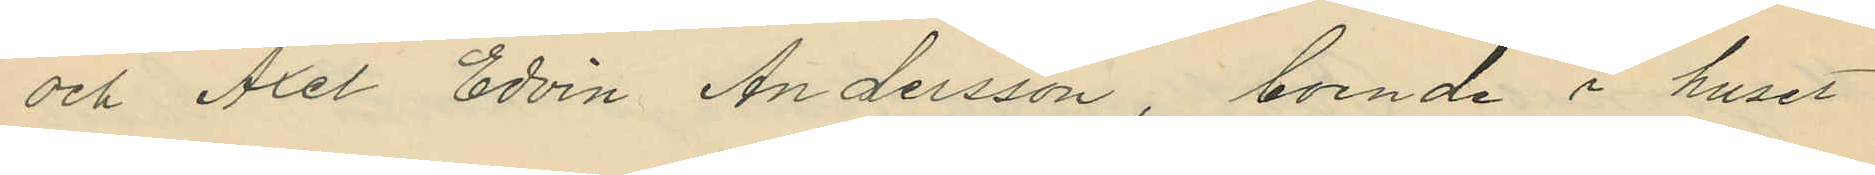och Axel Edvin Andersson, boende i huset
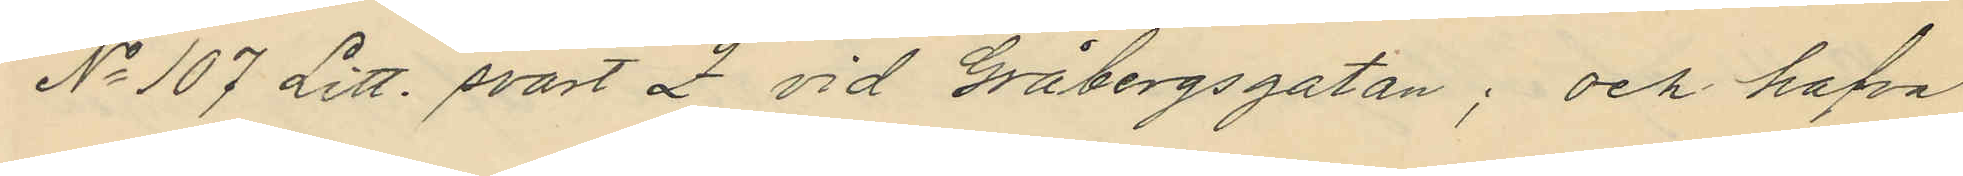No 107 Litt. svart Z vid Gråbergsgatan; och hafva
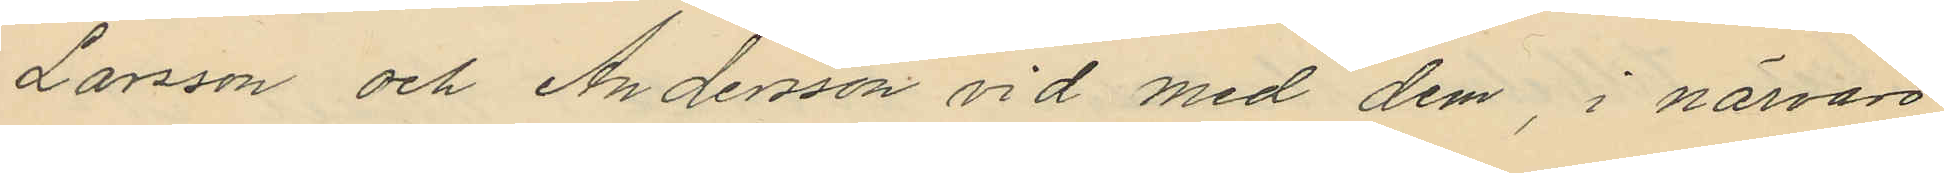Larsson och Andersson vid med dem, i närvaro
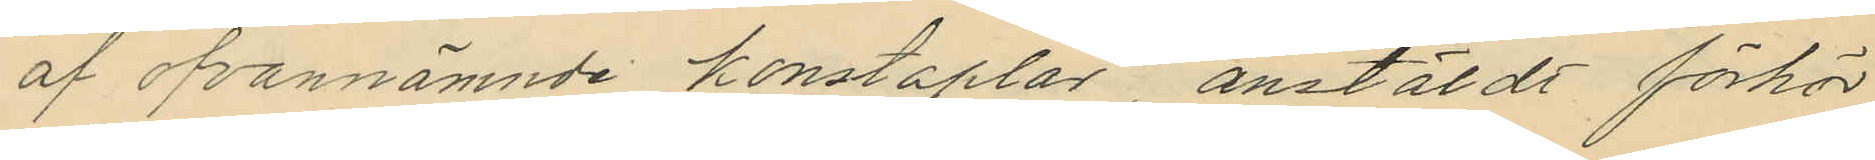af ofvannämnde konstaplar, anstäldt förhör
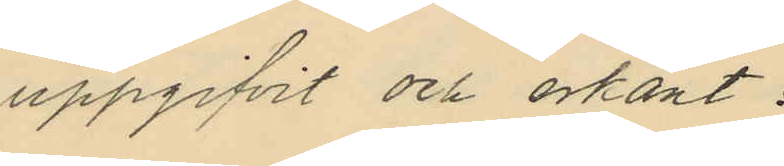uppgifvit och erkänt:
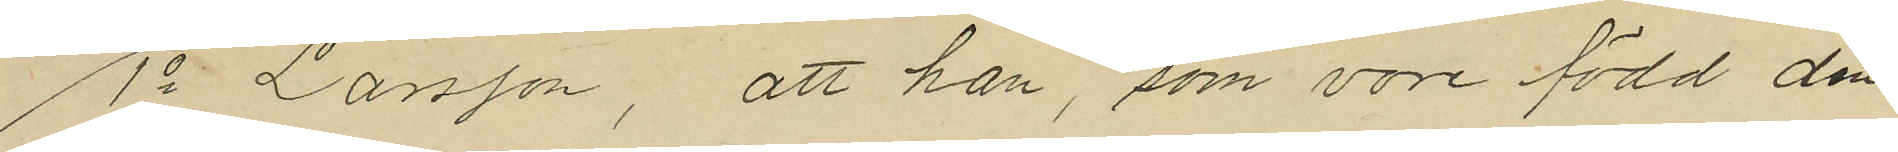1o Larsson, att han, som vore född den
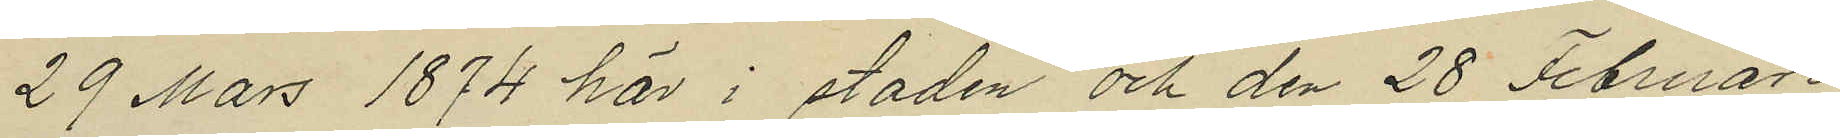29 Mars 1874 här i staden och den 28 Februari
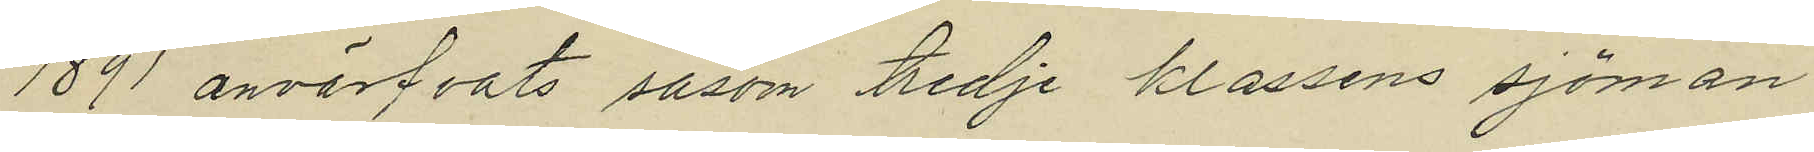1891 anvärfvats såsom tredje klassens sjöman
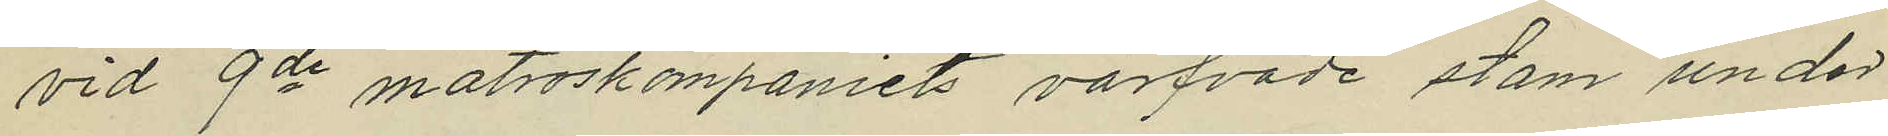vid 9de matroskompaniets värfvade stam under
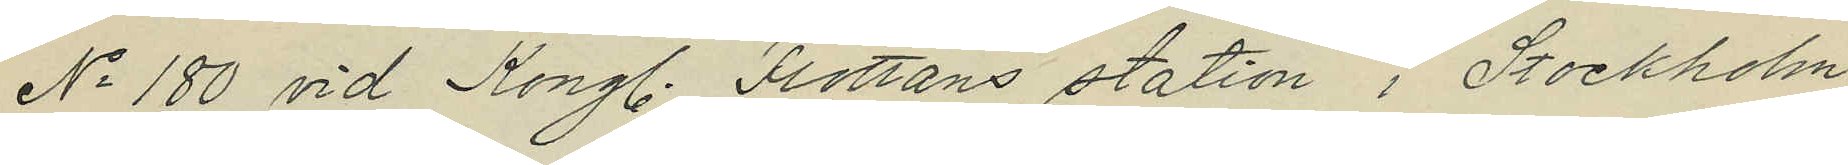No 180 vid Kongl. Flottans station i Stockholm
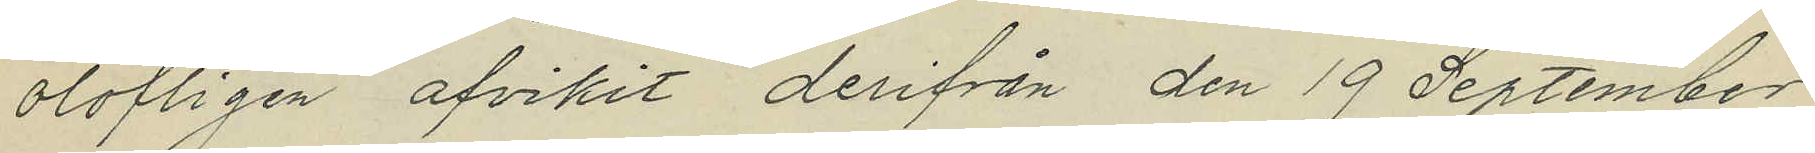olofligen afvikit derifrån den 19 September
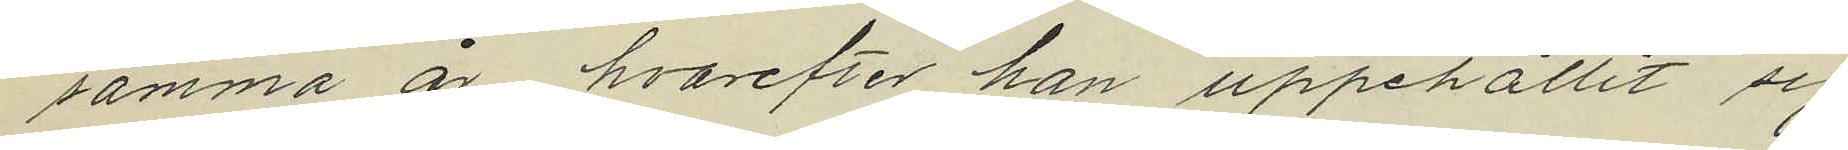samma år hvarefter han uppehållit sig
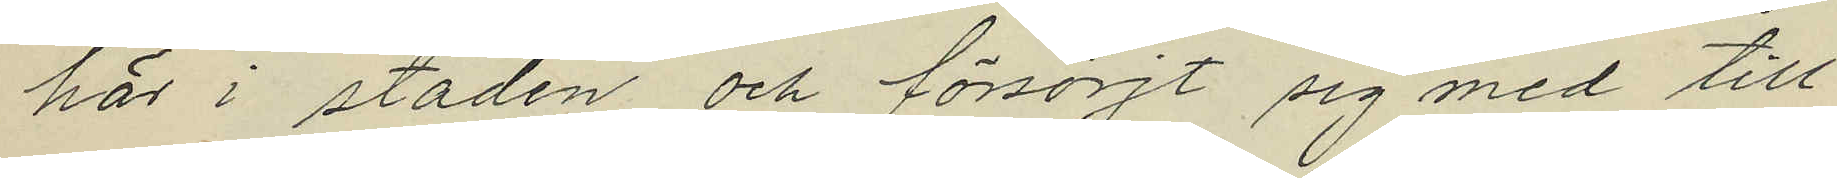här i staden och försörjt sig med till
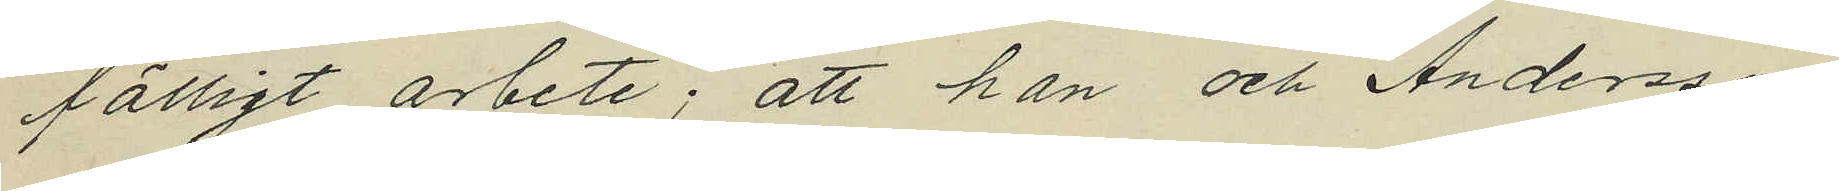fälligt arbete; att han och Andersson
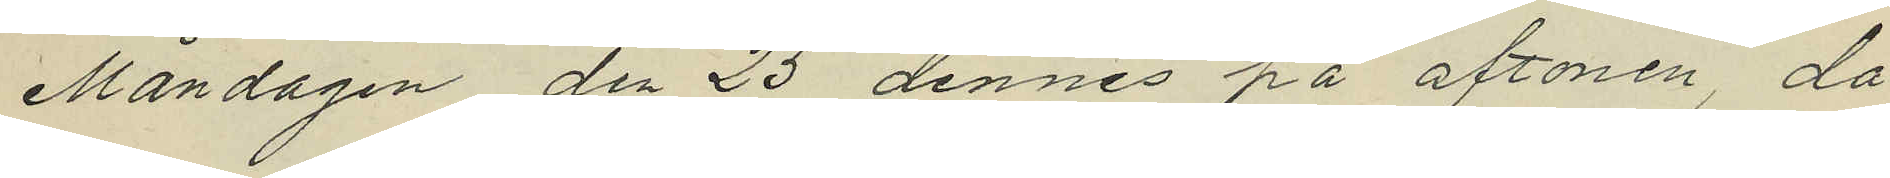Måndagen den 25 dennes på aftonen, då
